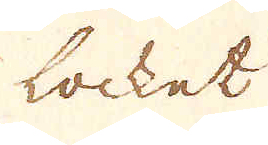locket
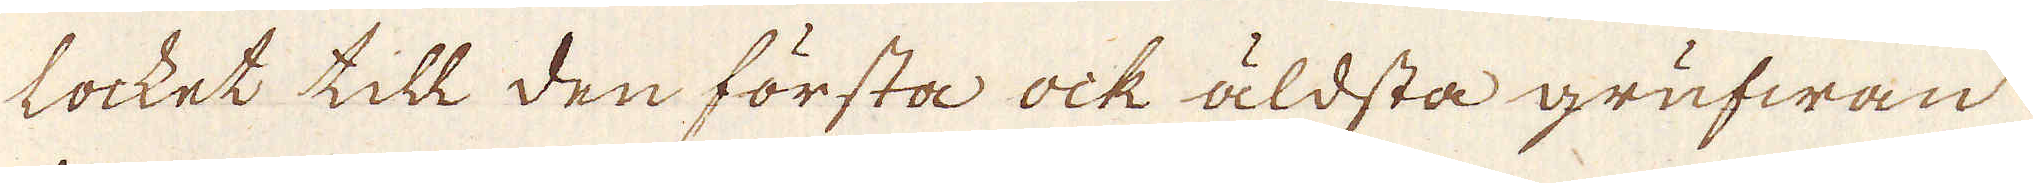locket till den första ock äldsta grufwan
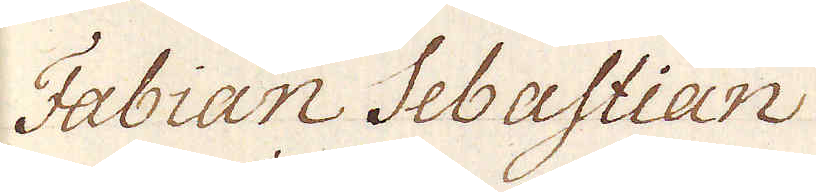Fabian Sebastian
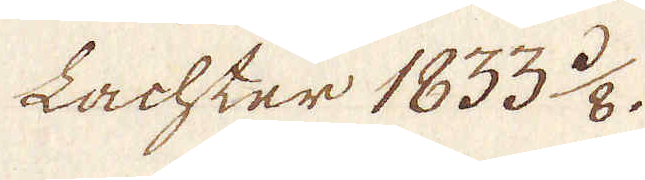Lachter 1833 3/8.
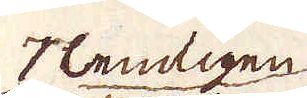Tlemligen
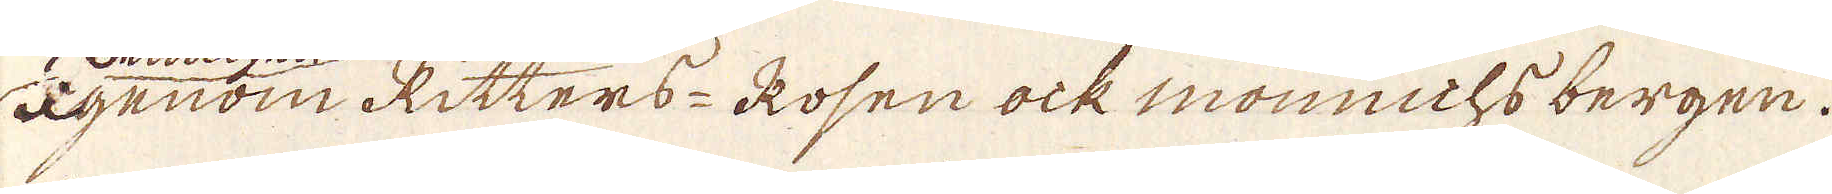Igenom Ritters-Rosen ock mönnichs bergen.
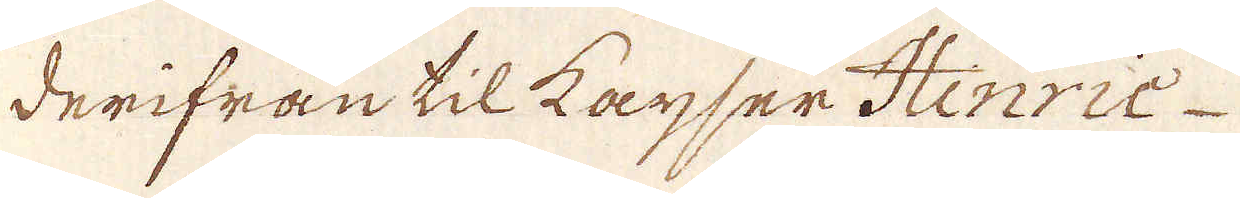derifrån til Kayser Hinric
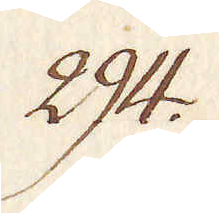294.
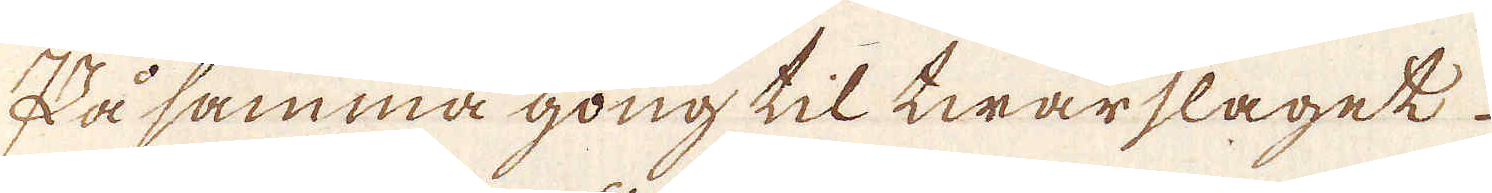På samma gong til twärslaget.
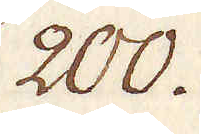200.
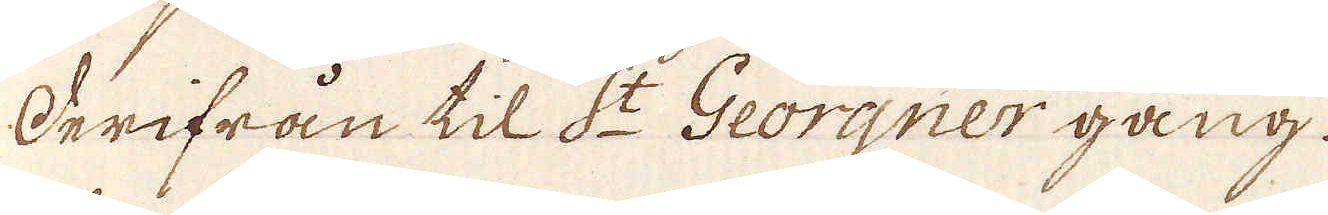Derifrån til S:t Georgner gong.
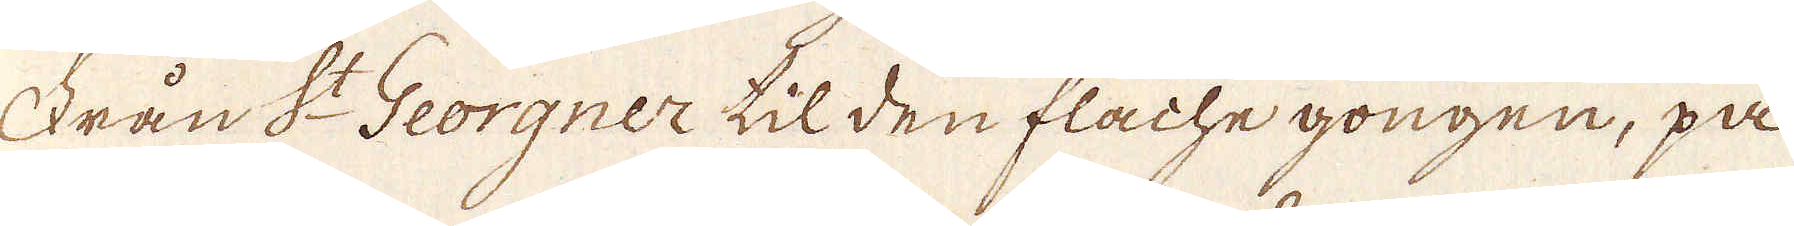Från S:t Georgner til den flache gongen, på
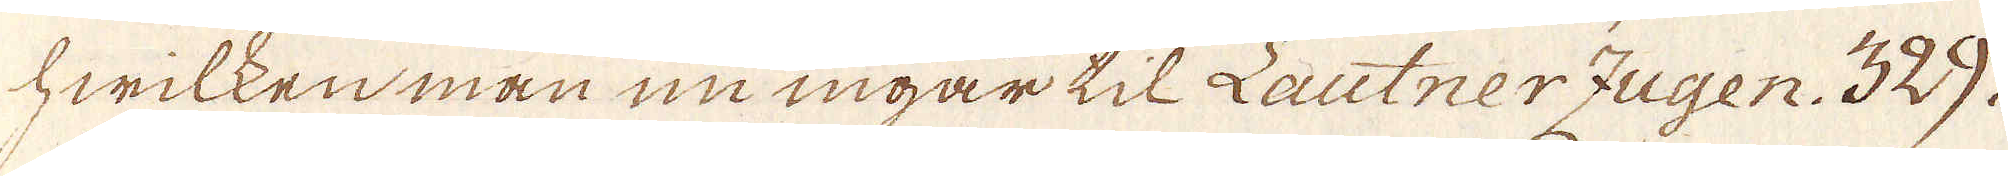hwilken man nu ingår til Lautner Zugen. 329.
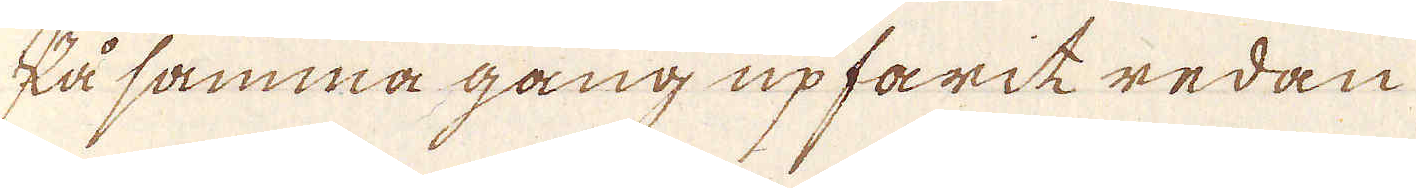På samma gång upfarik redan
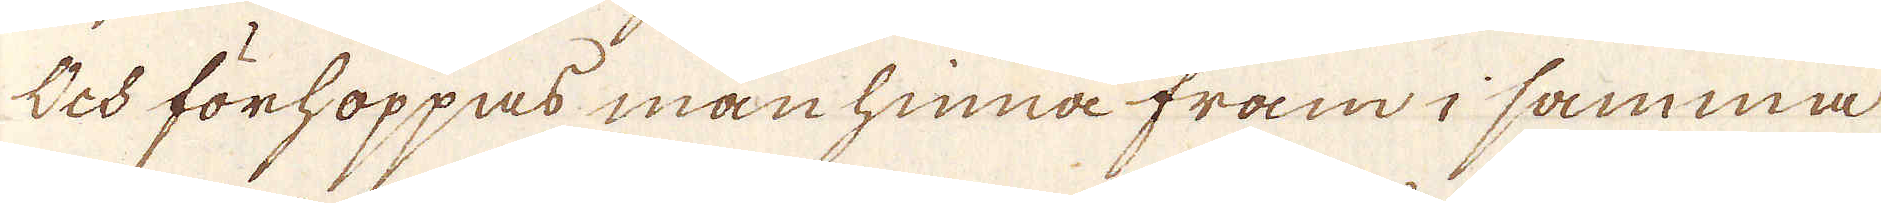Och förhoppas manhinna fram i samma
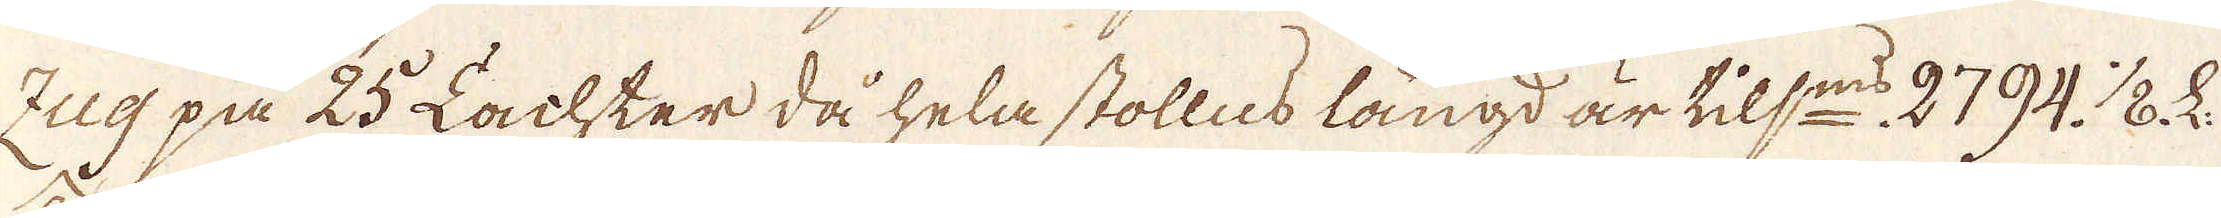Zug på 25 Lachter då hela stolles längd är tils:ms 2794. 1/8. L.
